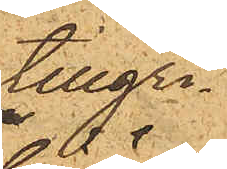tillgri¬
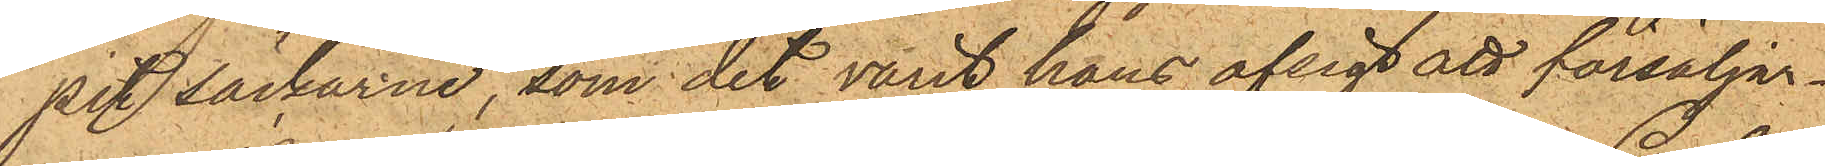pit säckarne, som det varit hans afsigt att försälja.
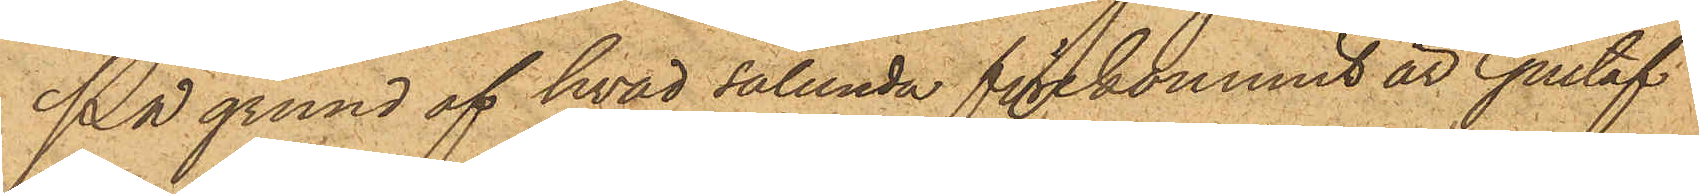På grund af hvad sålunda förekommit är Gustaf
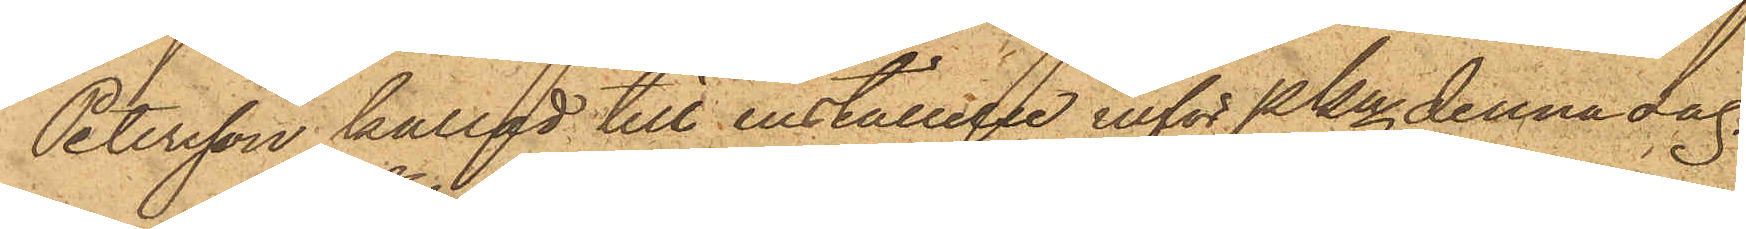Petersson kallad till inställele inför Pkn denna dag
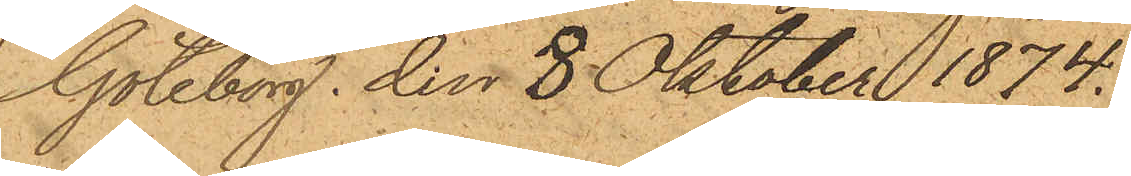Göteborg den 8 Oktober 1874.
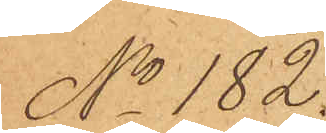No 182.
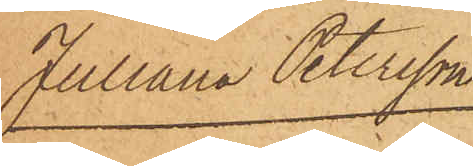Juliana Petersson
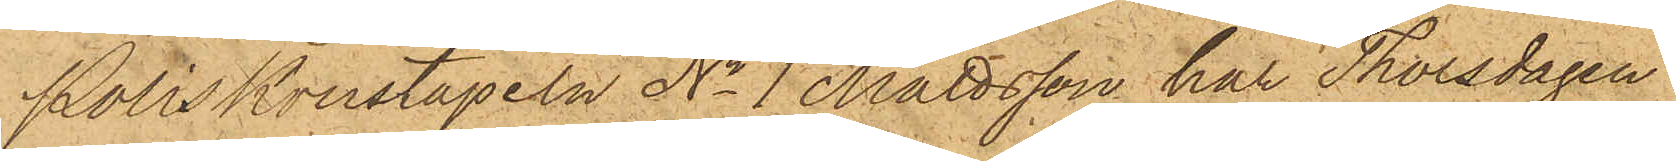Poliskonstapeln No 1 Mattsson har Thorsdagen
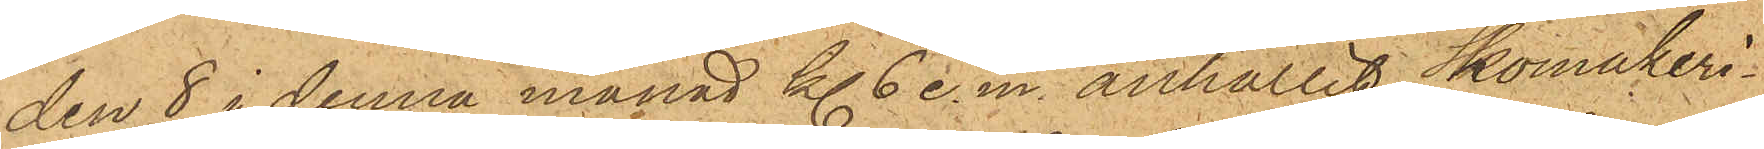den 8 i denna månad kl. 6 e.m. anhållit Skomakeri¬
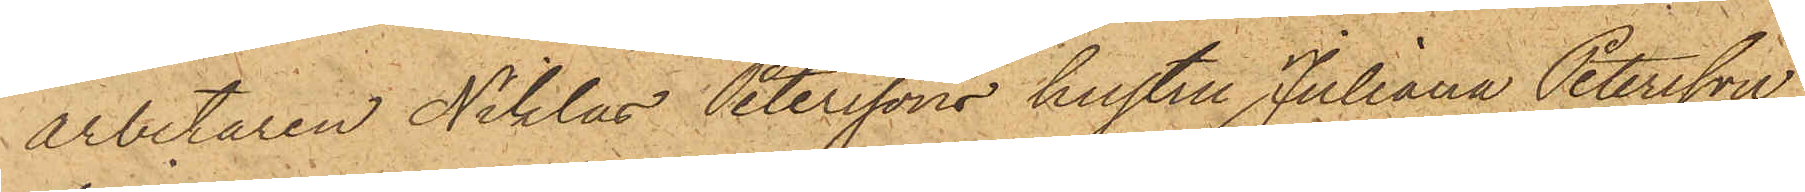arbetaren Niklas Peterssons hustru Juliana Petersson,
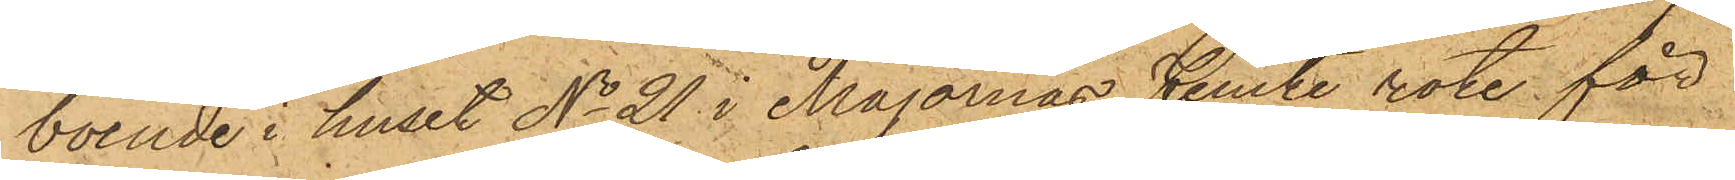boende i huset No 21 i Majornas femte rote, för
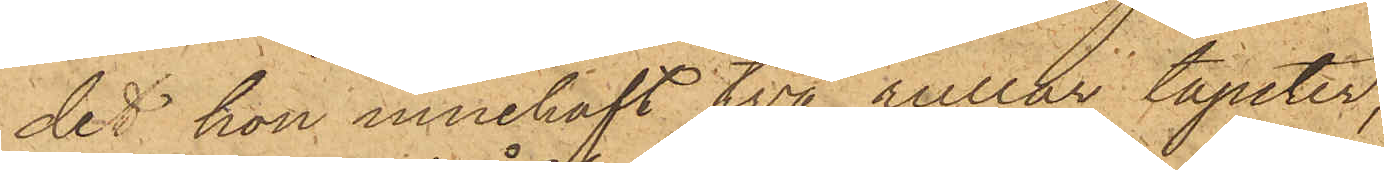det hon innehaft två rullar tapeter,
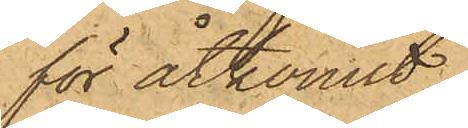för åtkomst
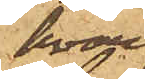hvar¬
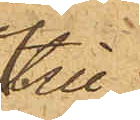tilll
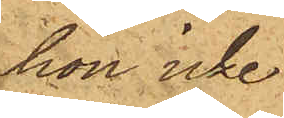hon icke
